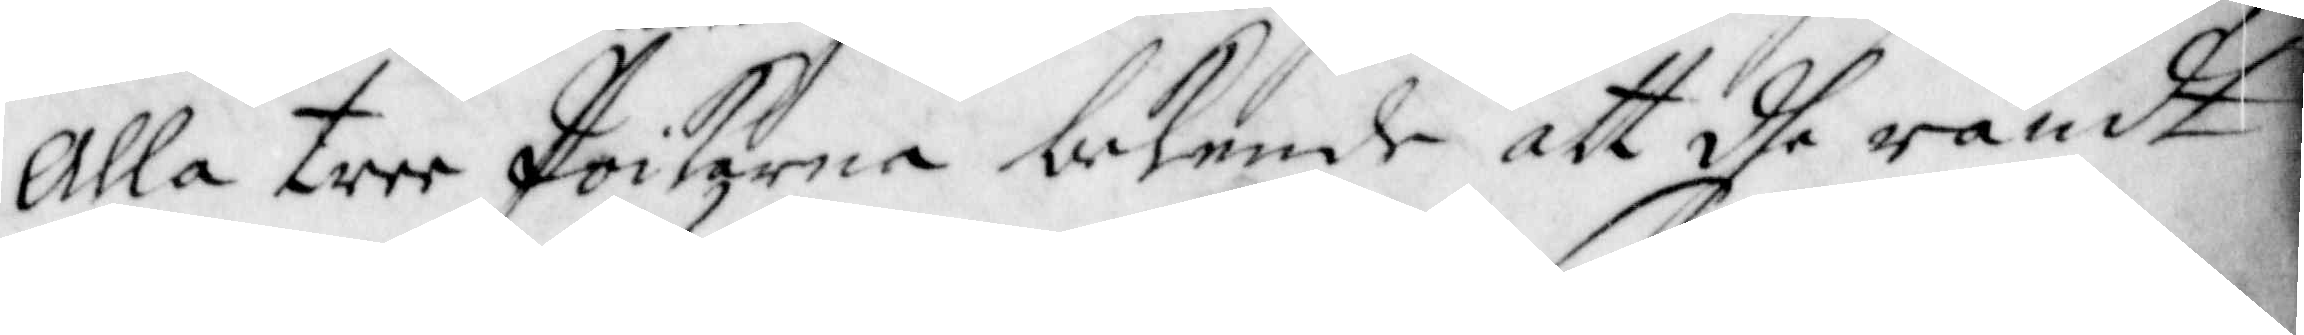Alla tree Poikarna bekende att dhe rändt
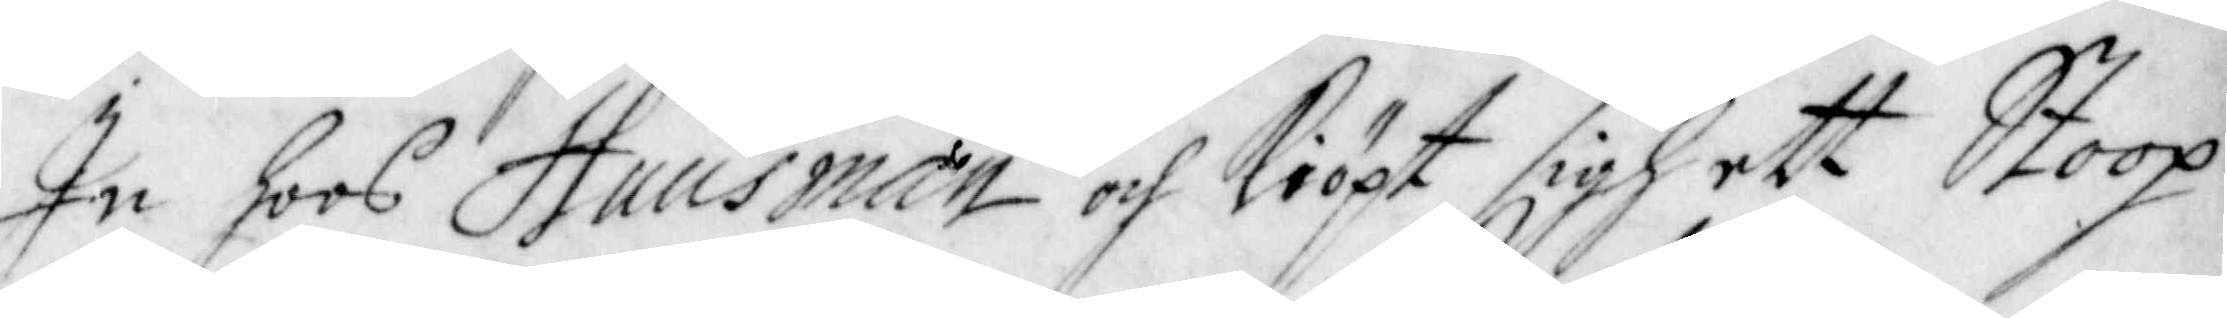In hoos Huusman och kiöpt sigh ett Stoop
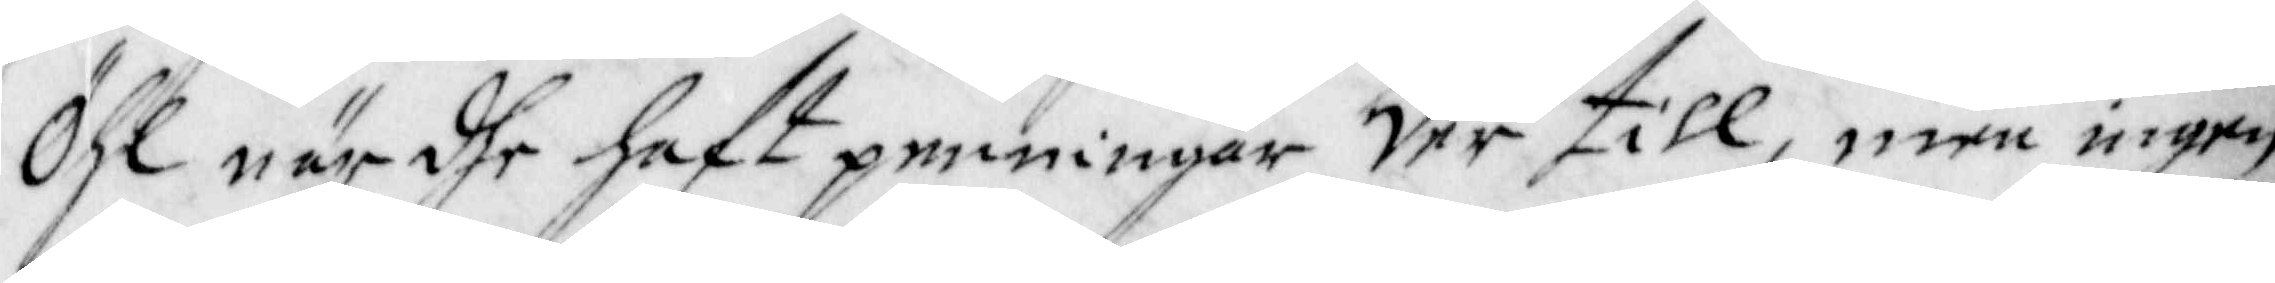Öhl när dhe haft penningar der till, men ingen
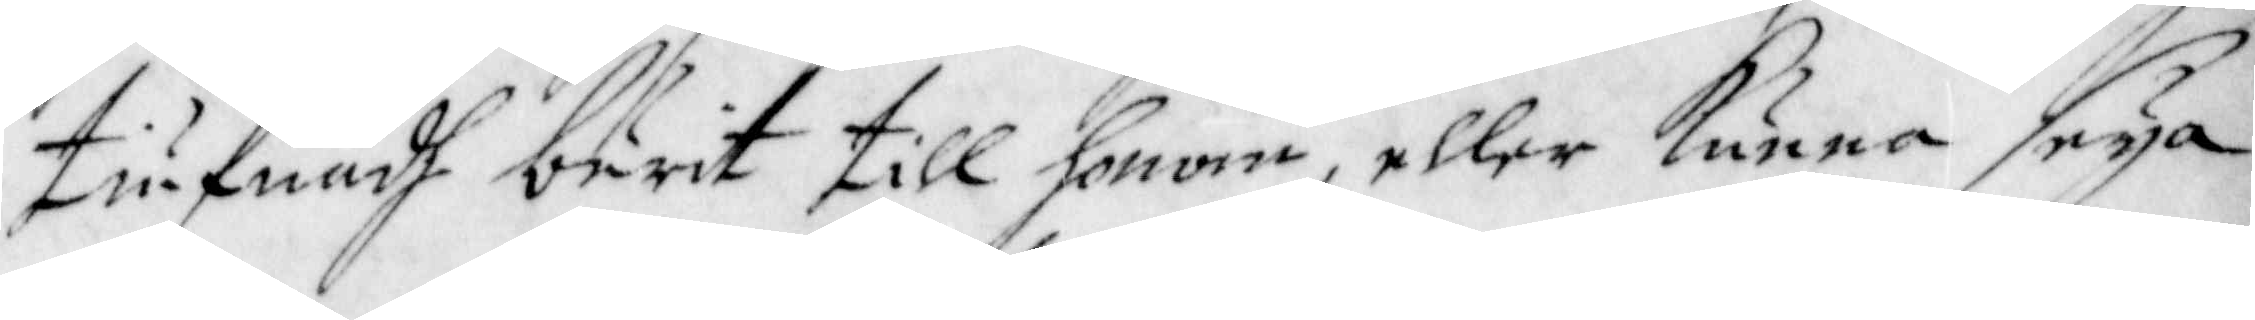tiufnadh burit till honom, eller kunna seya
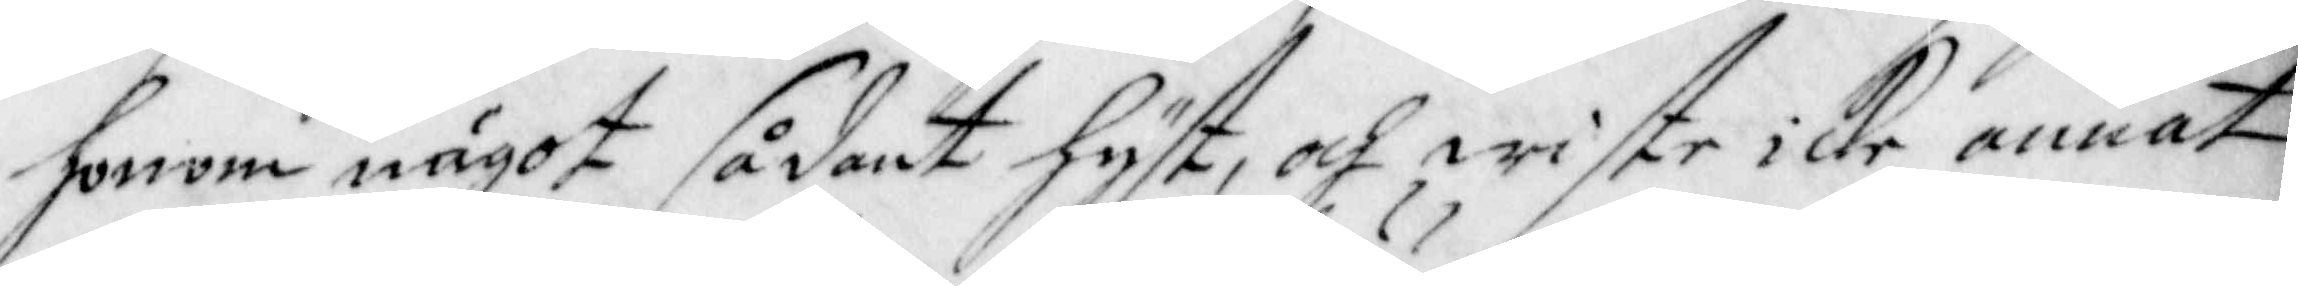honom något sådant hyst, och wiste icke annat
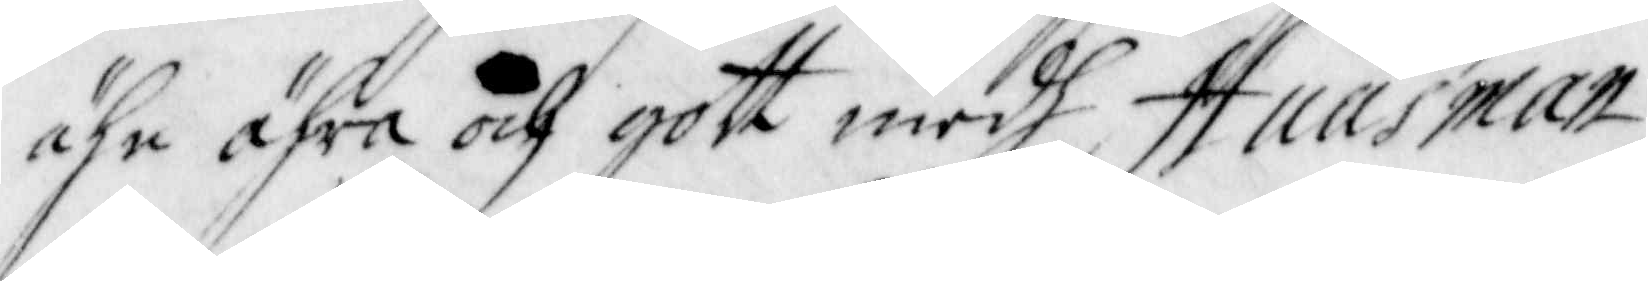ähn ähra och gott medh Huusman.
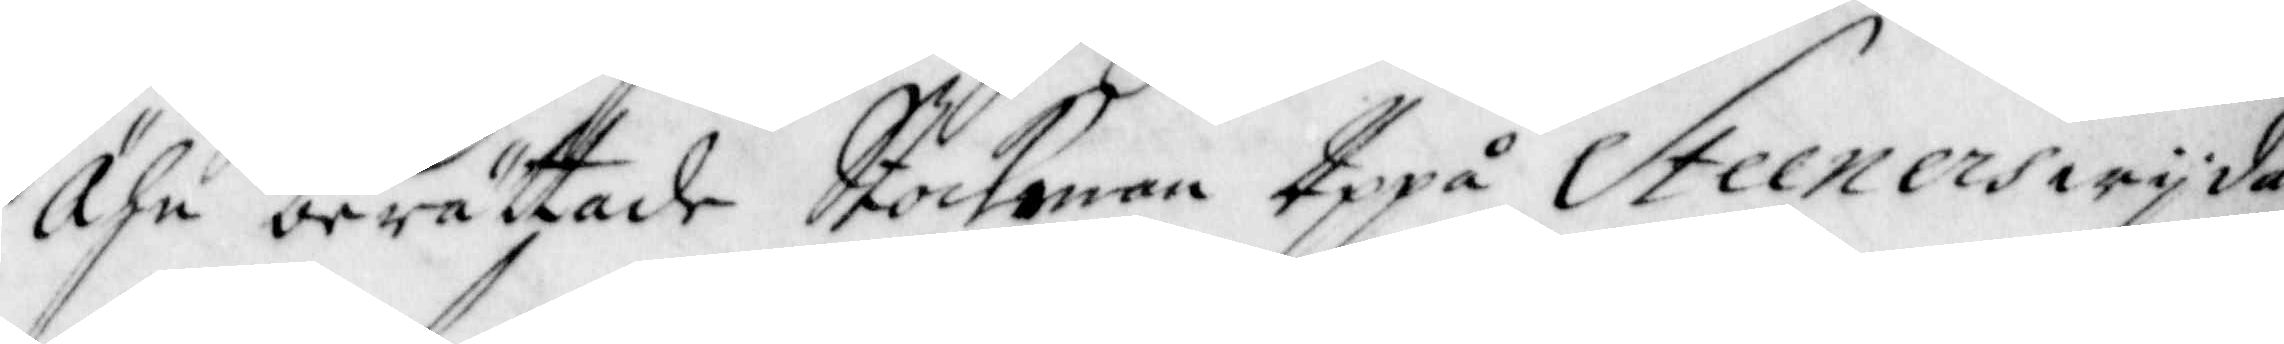Ähn berättade Stockman Uppå Steeners wijda¬
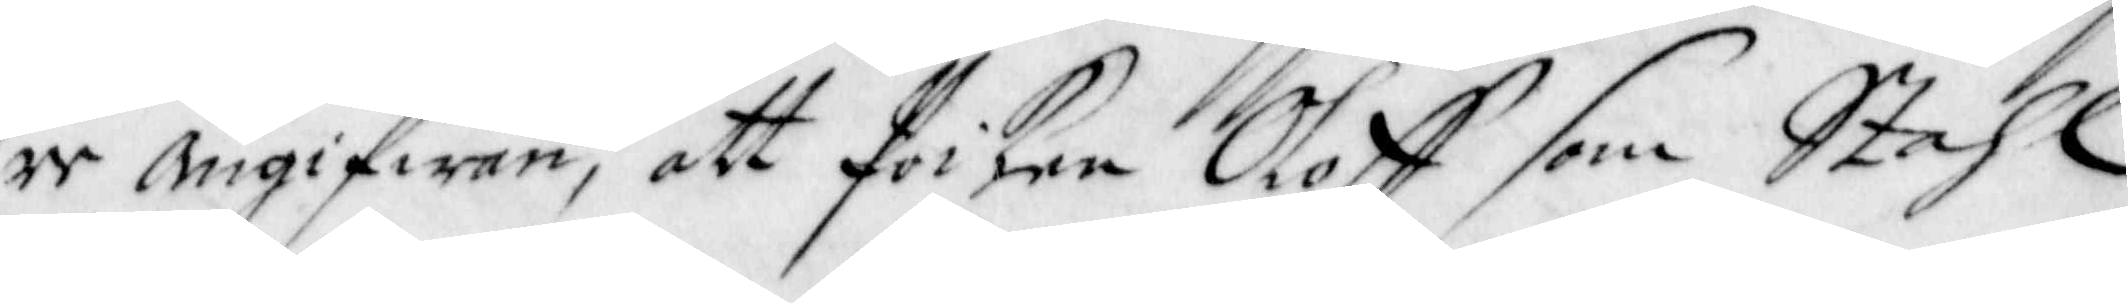re Angifwan, att Poiken Oloff som Stahl
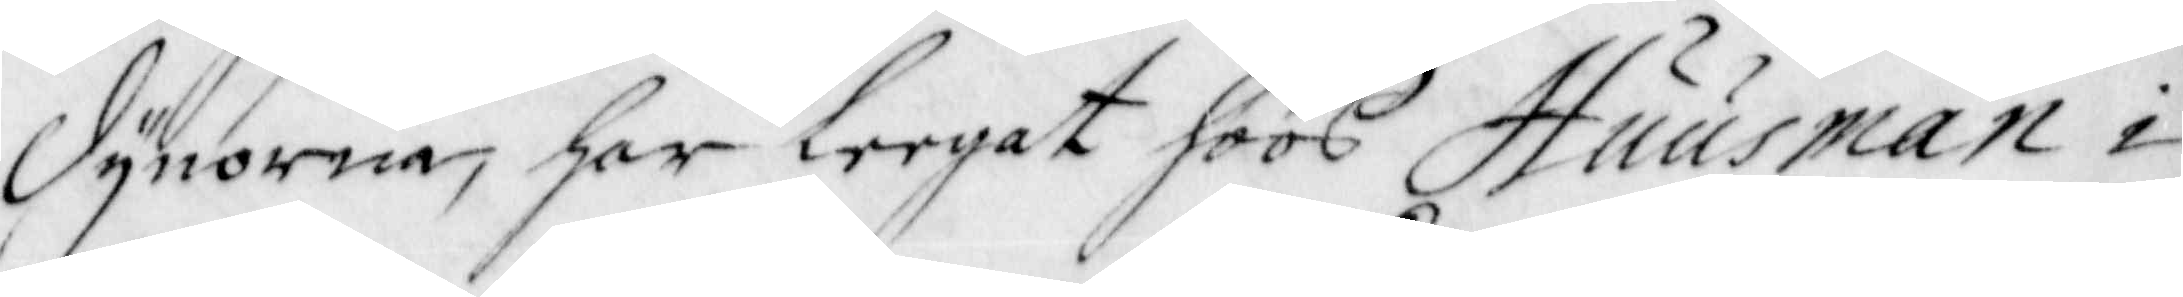Dynorna, har leegat hoos Huusman i
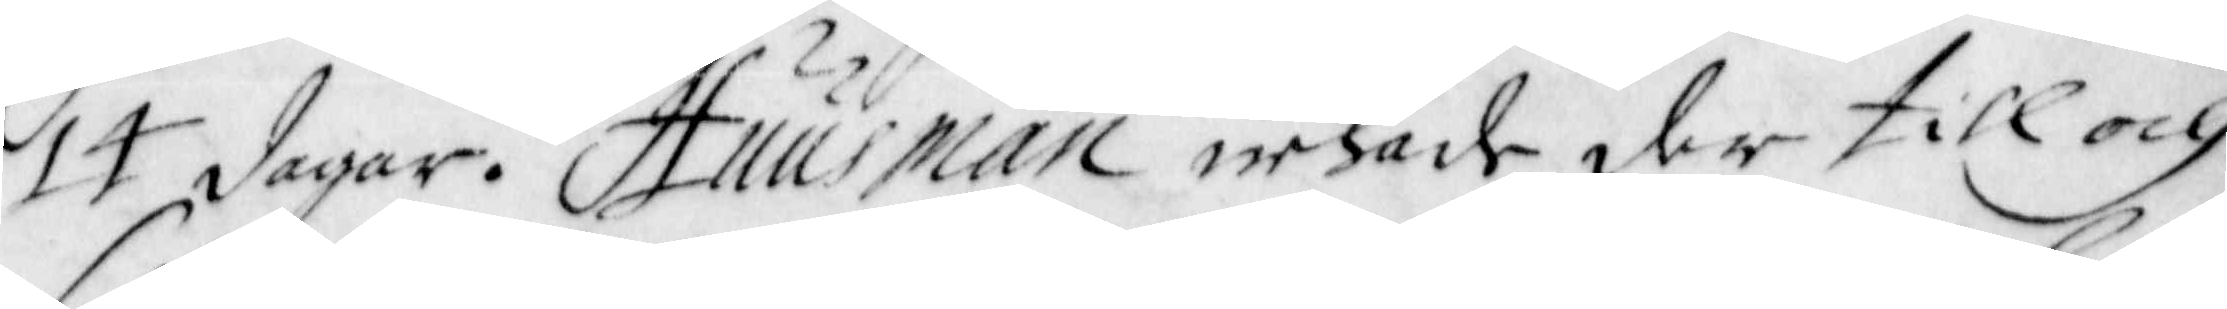14 dagar. Huusman nekade der till och
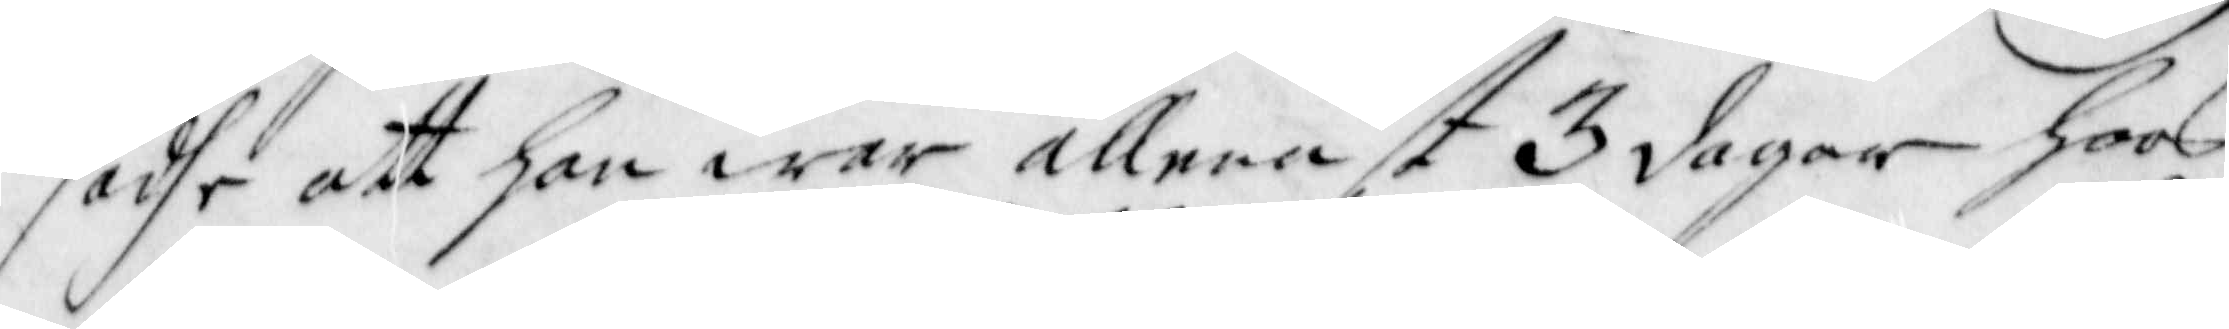sadhe att han war allenast 3 dagar hoos
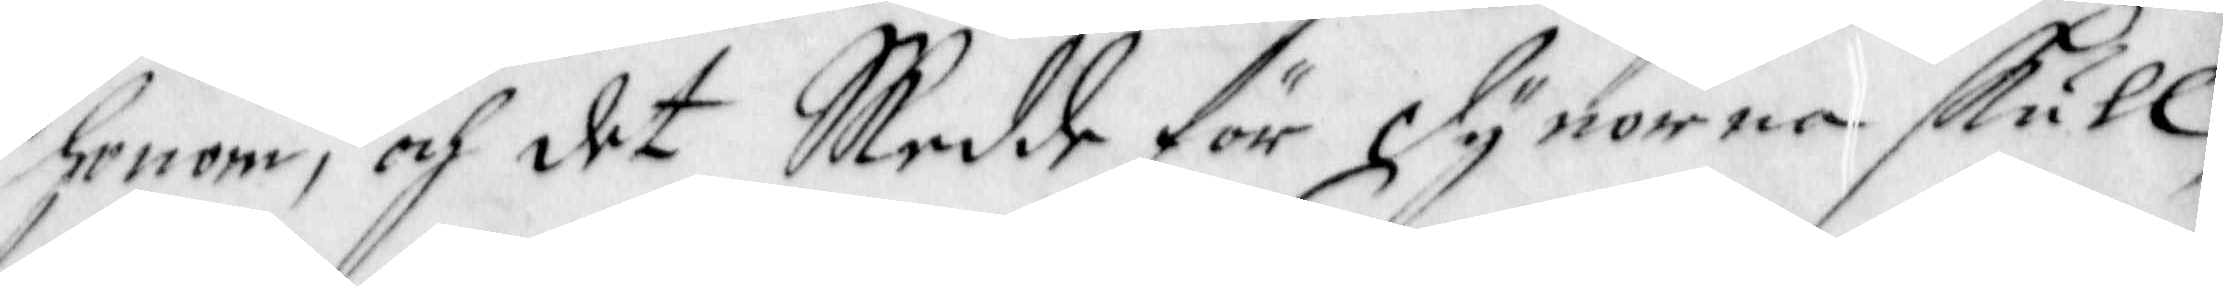honom, och det Skedde för Dynorna skull,
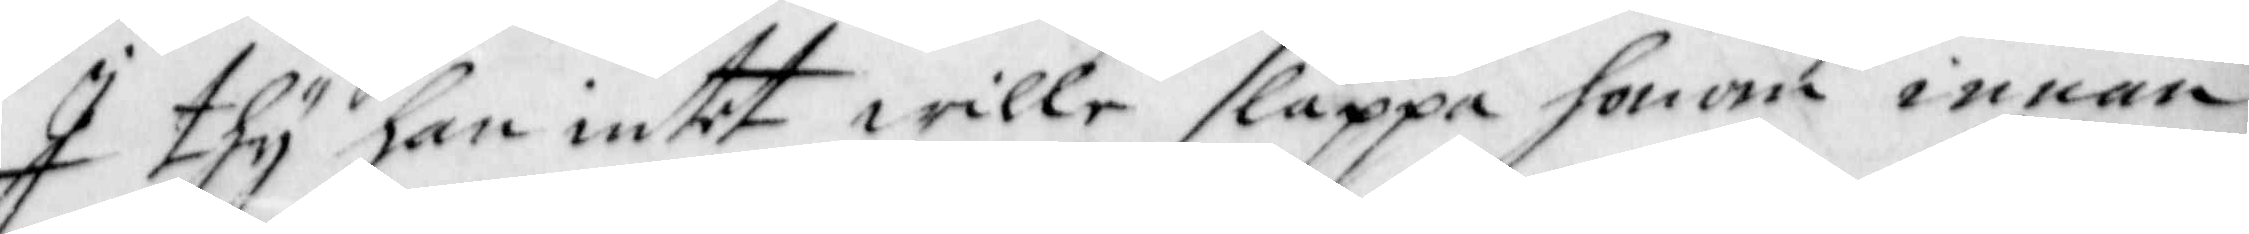I thy han intet wille släppa honom innan
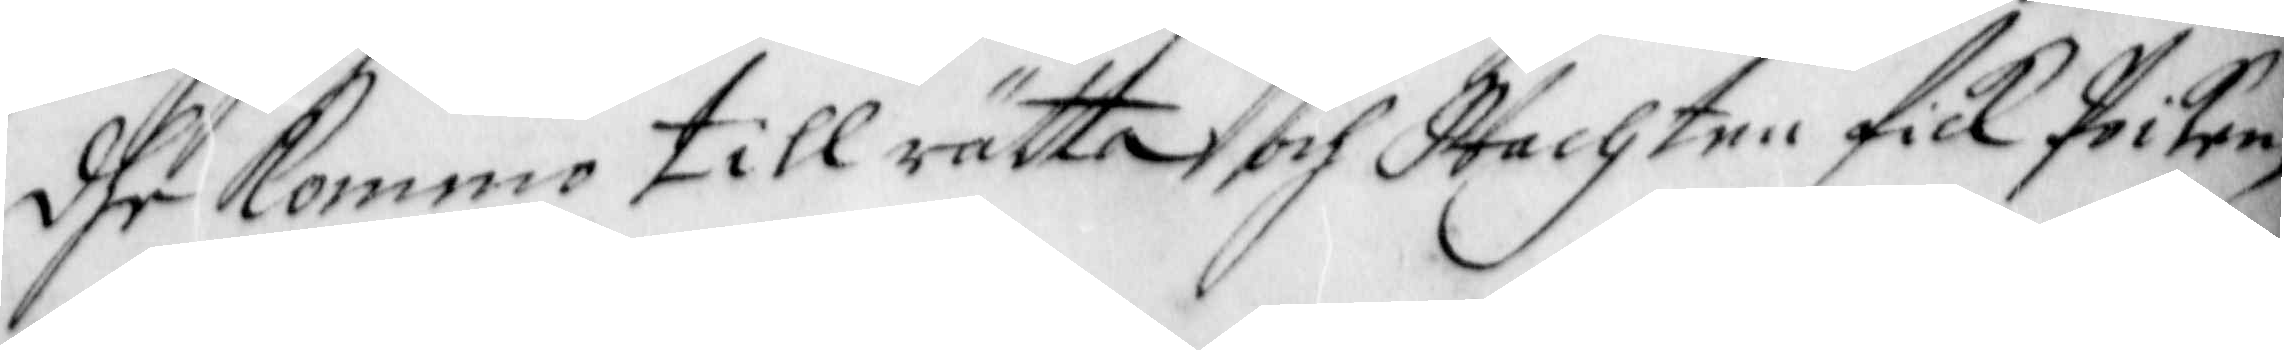dhe Kommo till rätta, och Wachten fick Poiken,
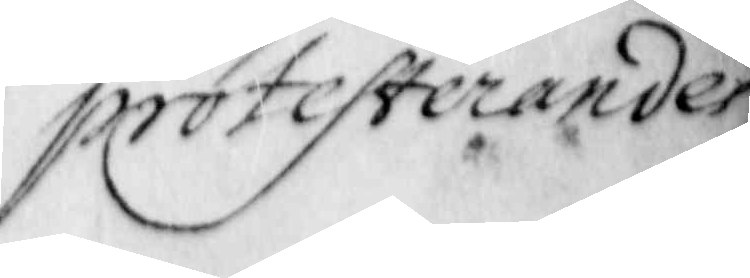protesterandes
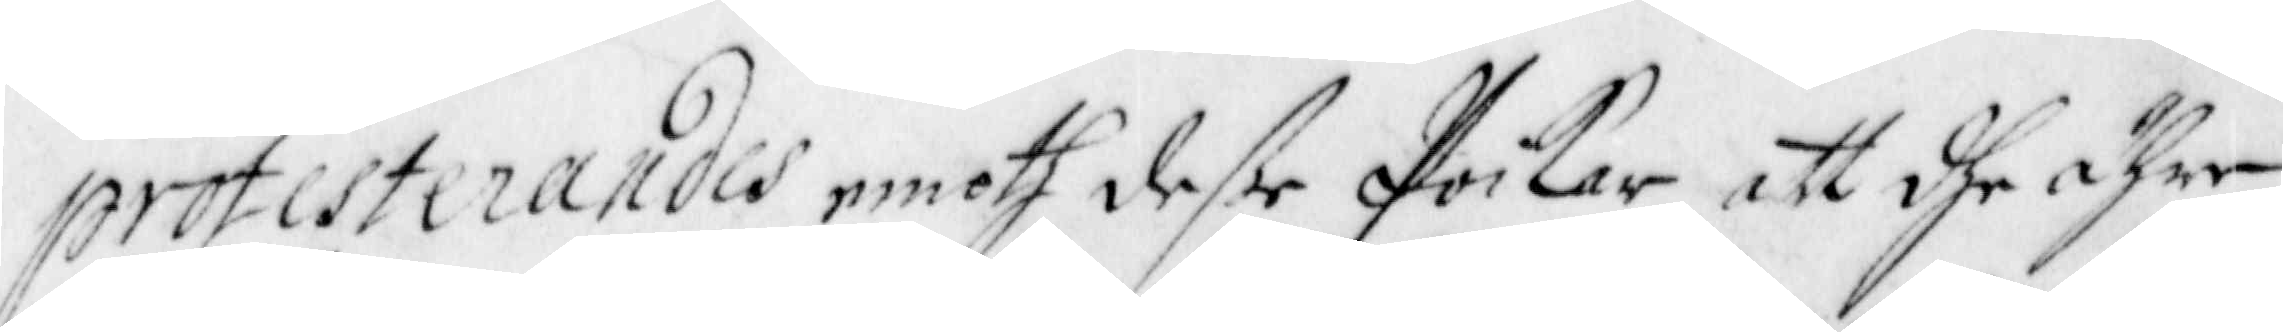protesterandes emoth deße Poikar att dhe ähre
